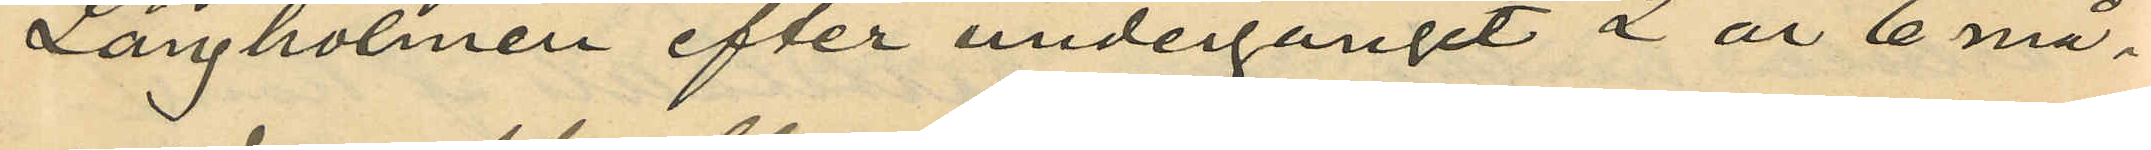Långholmen efter undergånget 2 år 6 må¬
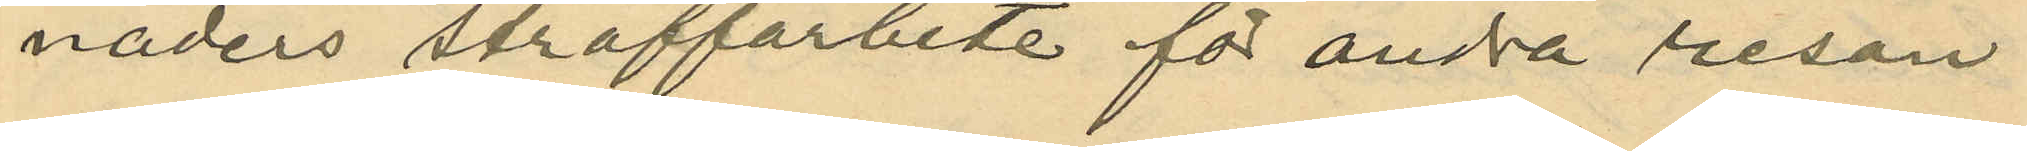naders straffarbete för andra resan
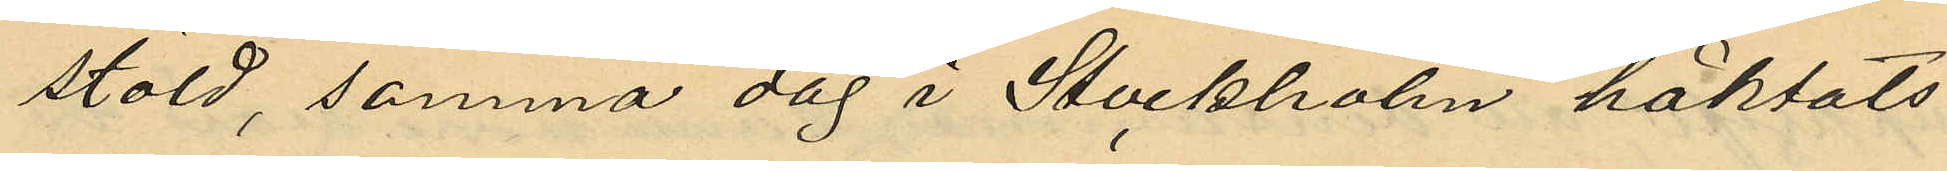stöld, samma dag i Stockholm häktats
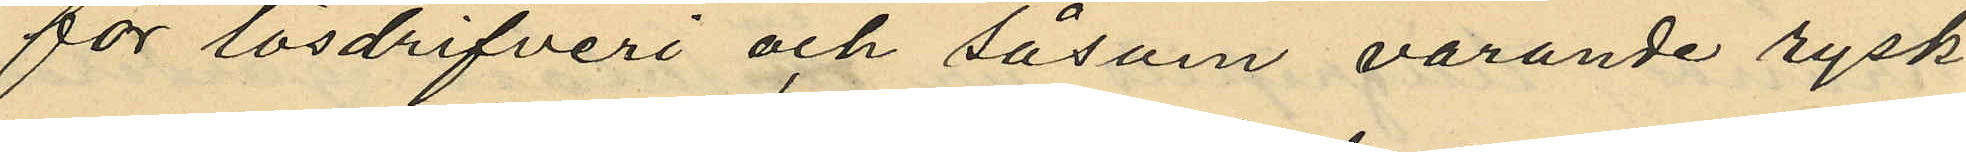för lösdrifveri och såsom varande rysk
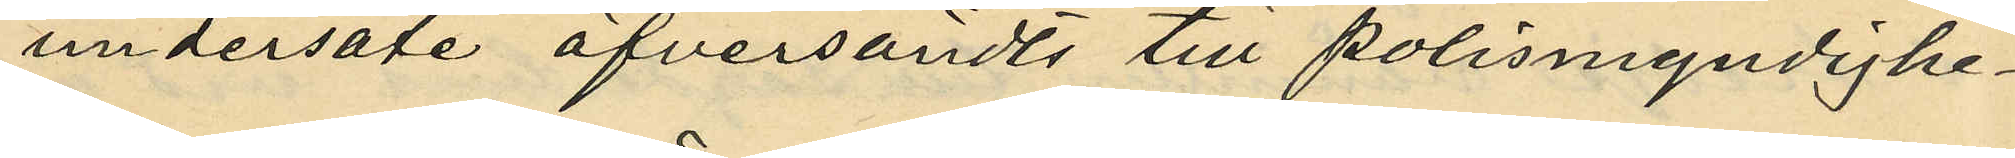undersåte öfversändts till polismyndighe¬
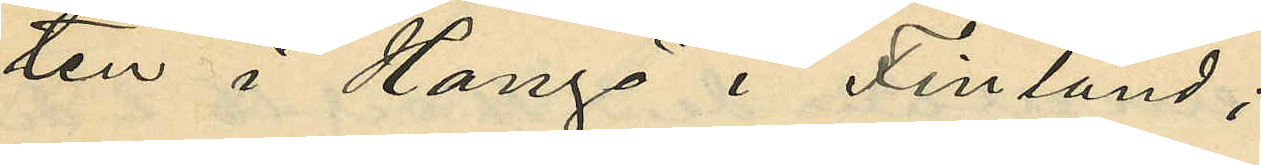ten i Hangö i Finland;
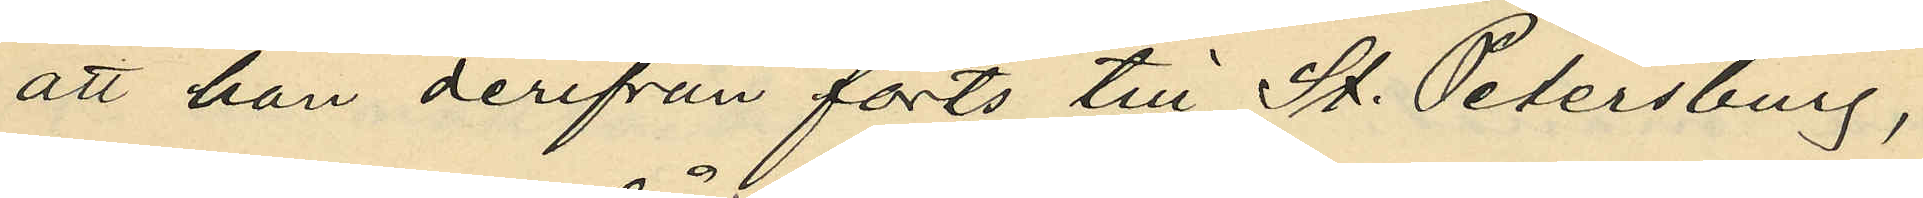att han derifrån förts till St. Petersburg,
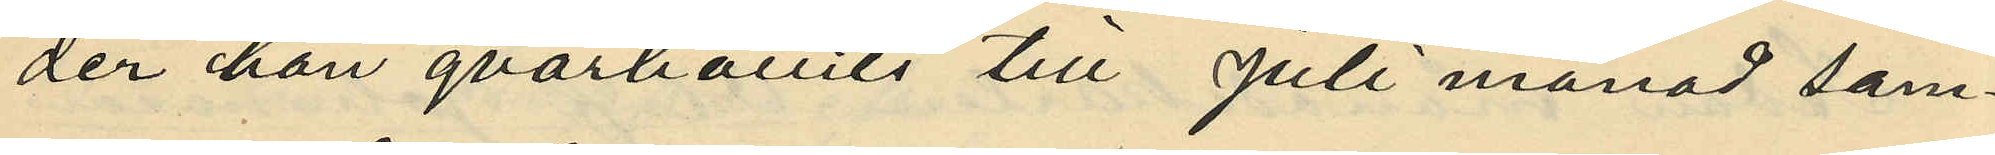der han qvarhållits till juli månad sam¬
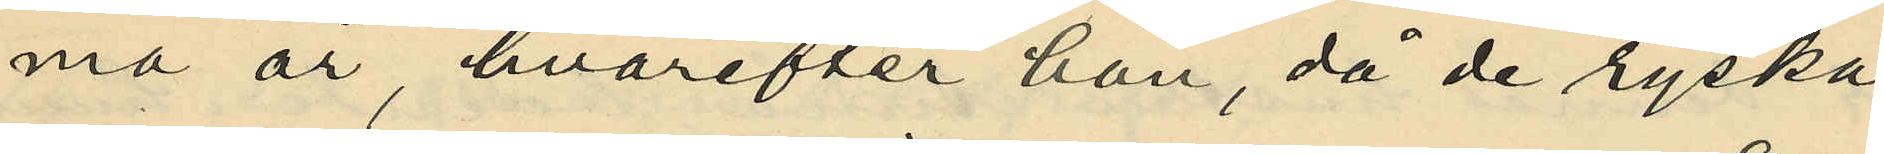ma år, hvarefter han, då de ryska
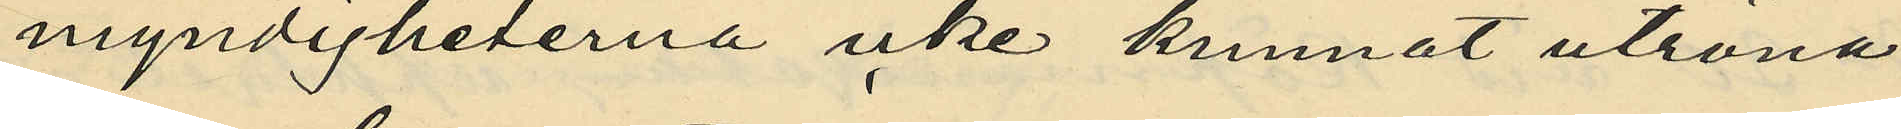myndigheterna icke kunnat utröna
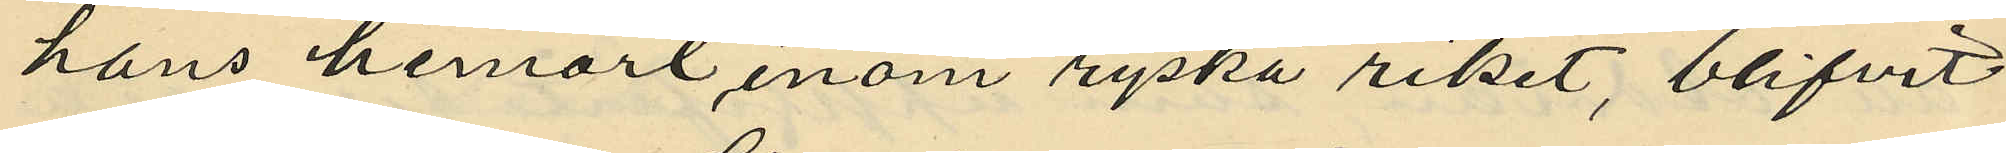hans hemort inom ryska riket, blifvit
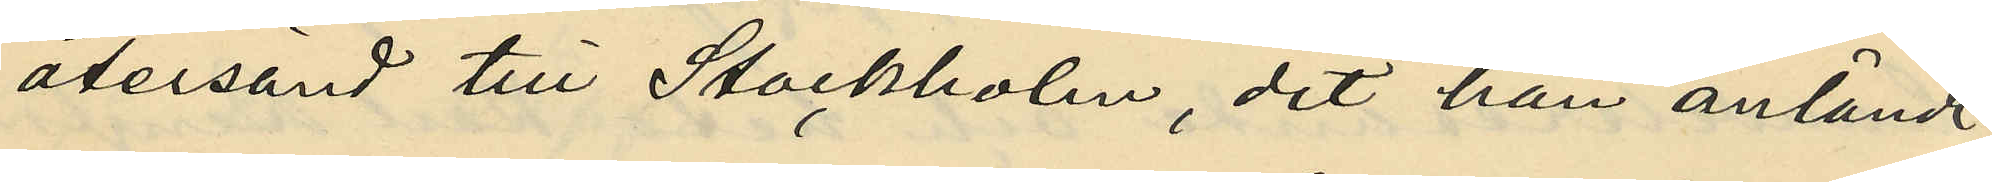återsänd till Stockholm, dit han anländt
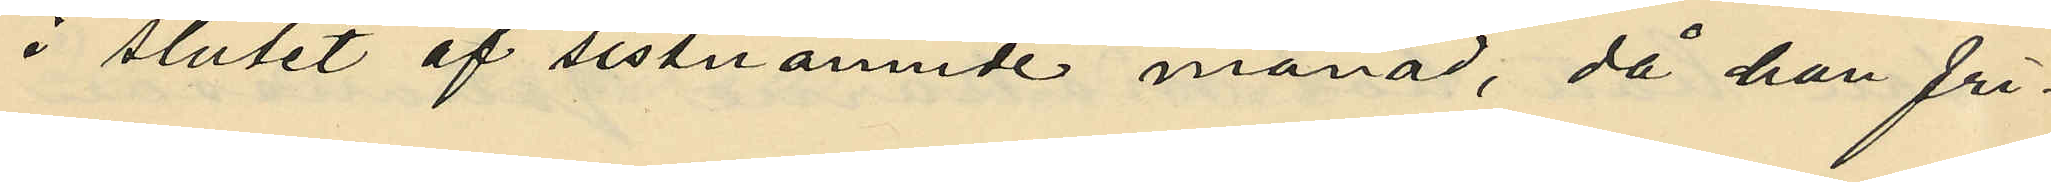i slutet af sistnämnde månad, då han fri¬
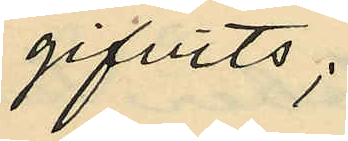gifvits;
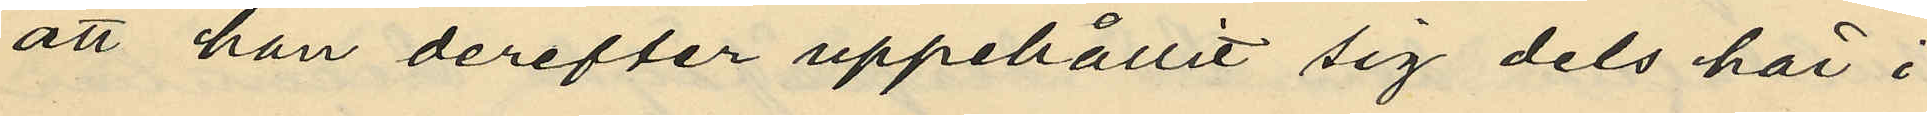att han derefter uppehållit sig dels här i
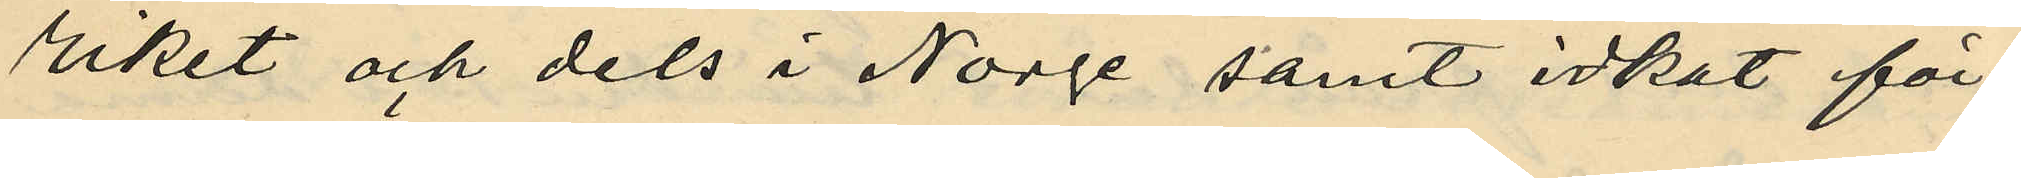riket och dels i Norge samt idkat för¬
